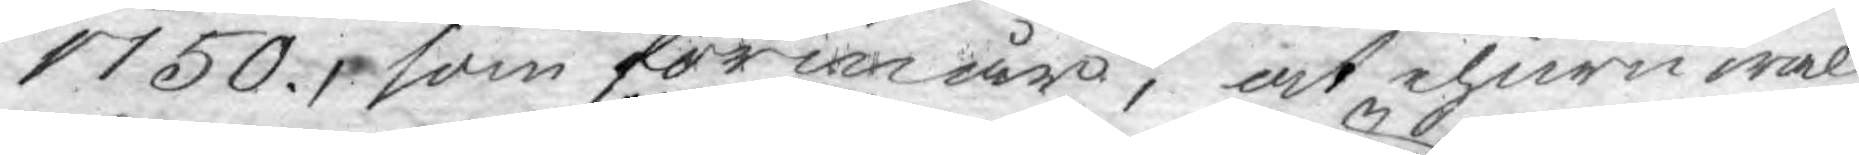1750. som förmår, at ehuru wäl
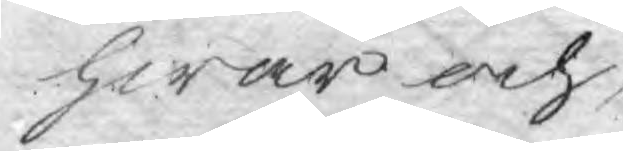hwar och,
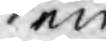en
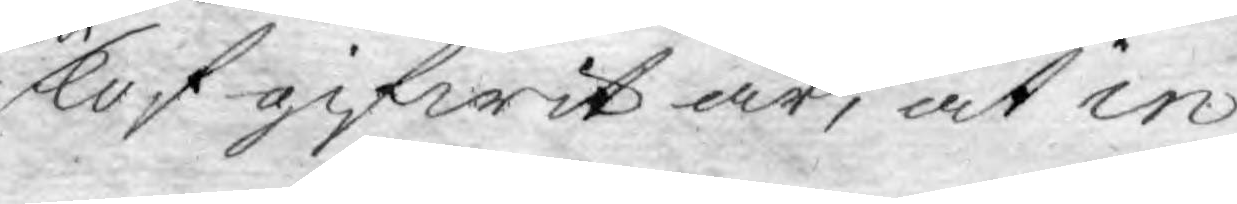lof gifwit är, at in
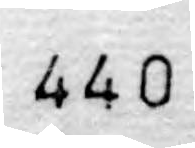440
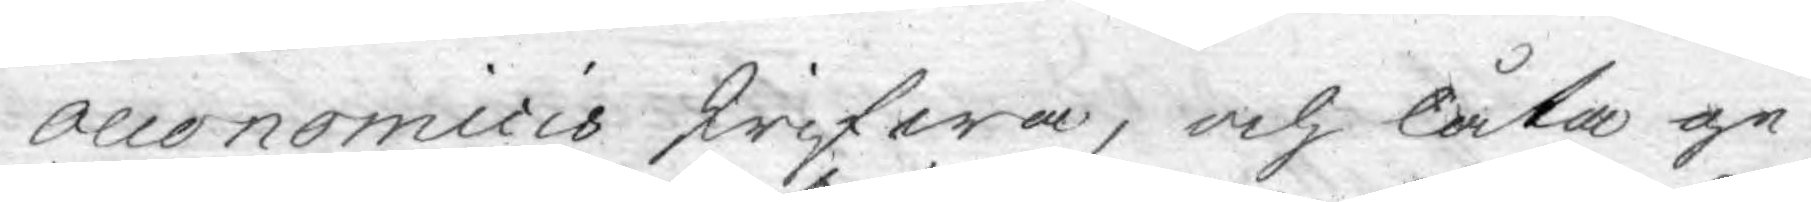oeconomicis skrifwa, och låta ge¬
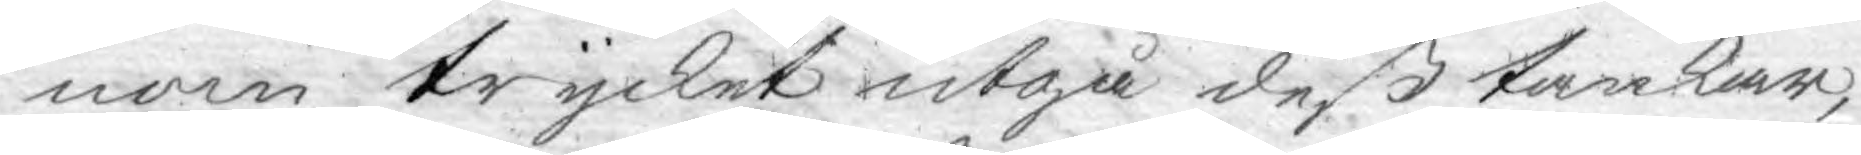nom trycket utgå deß tankar,
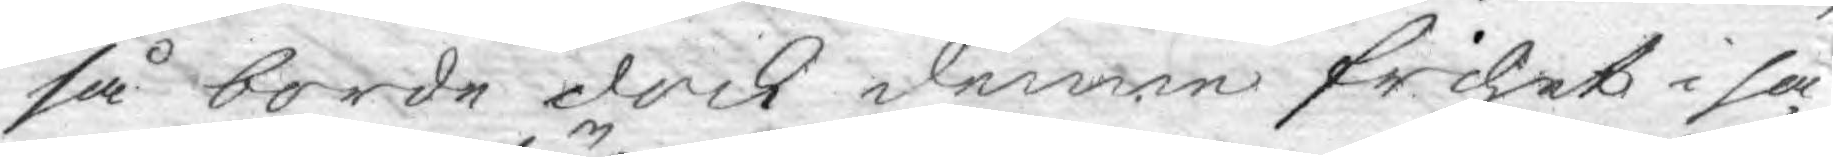så borde dock denne frihet i så
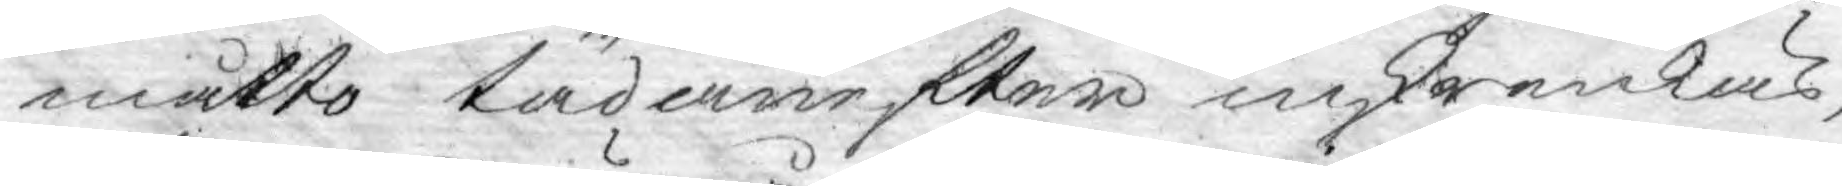måtto tädanefter inskrenkas,
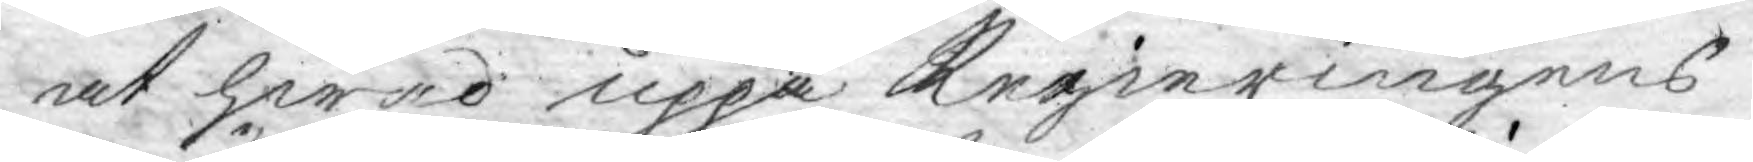at hwad uppå Regieringens
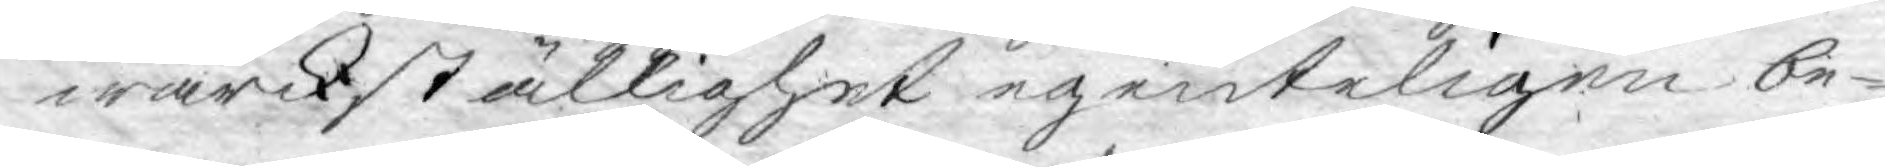wärckställighet egenteligen be¬
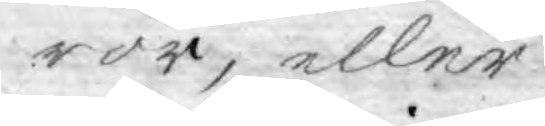ror, eller
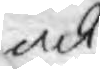ock
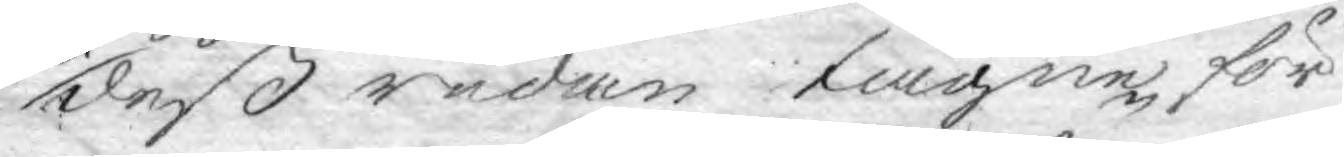deß redan tagne för¬
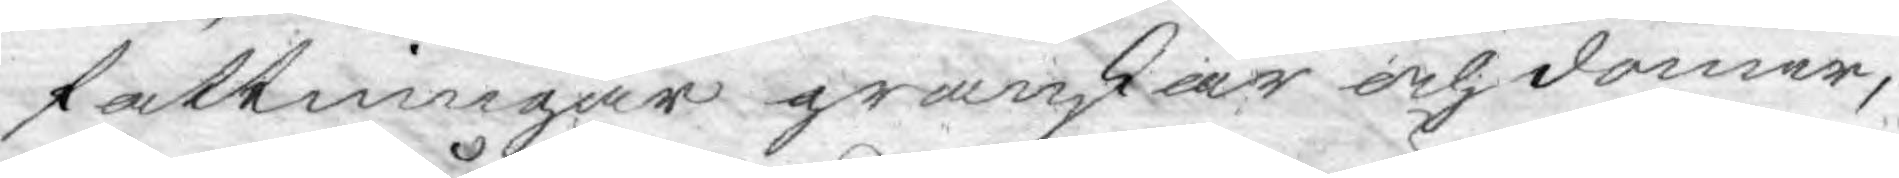fattningar granskar och dömer,
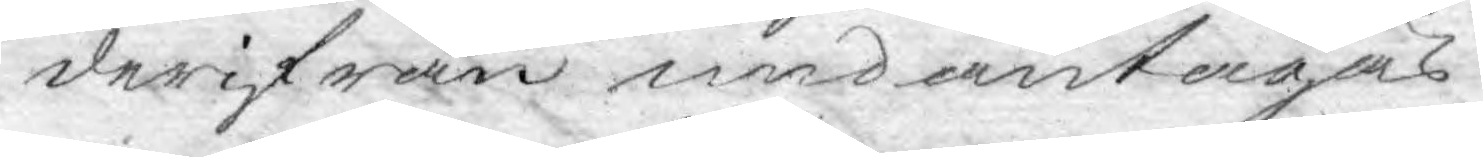derifrån ned antagas.
